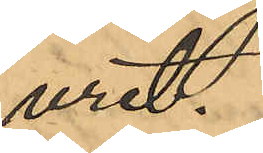uret.
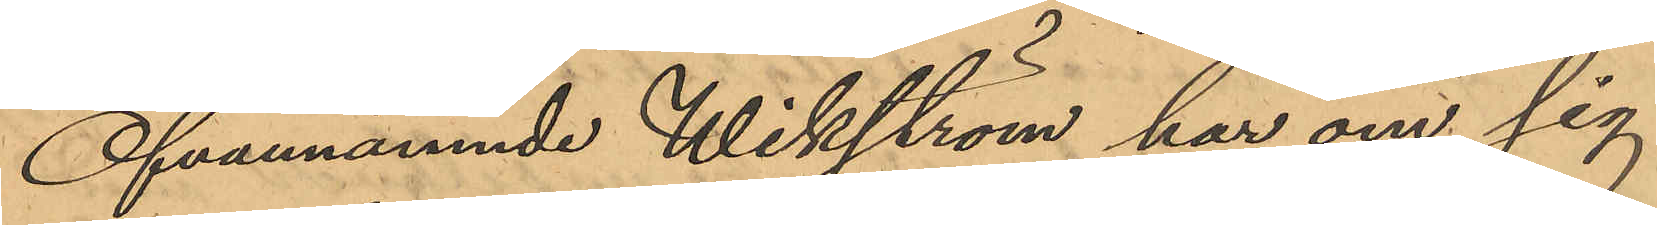Ofvannämnde Wikström har om sig
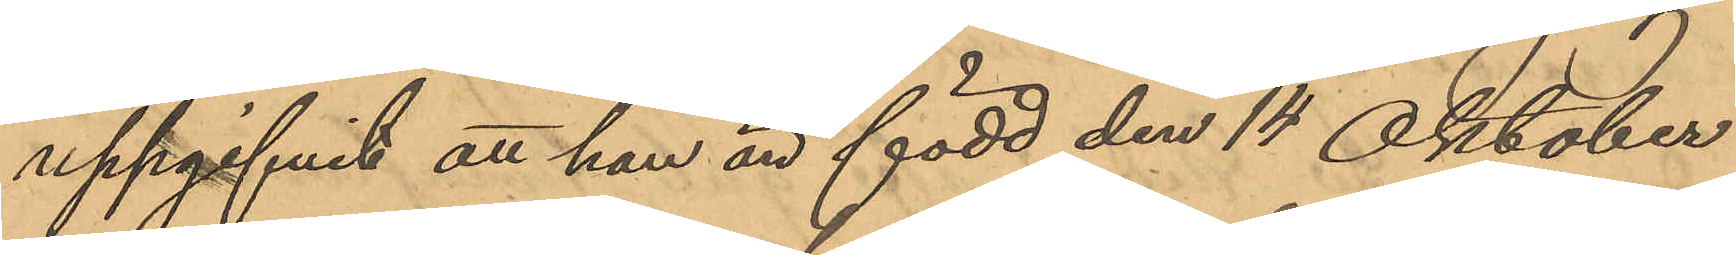uppgifvit att han är född den 14 Oktober
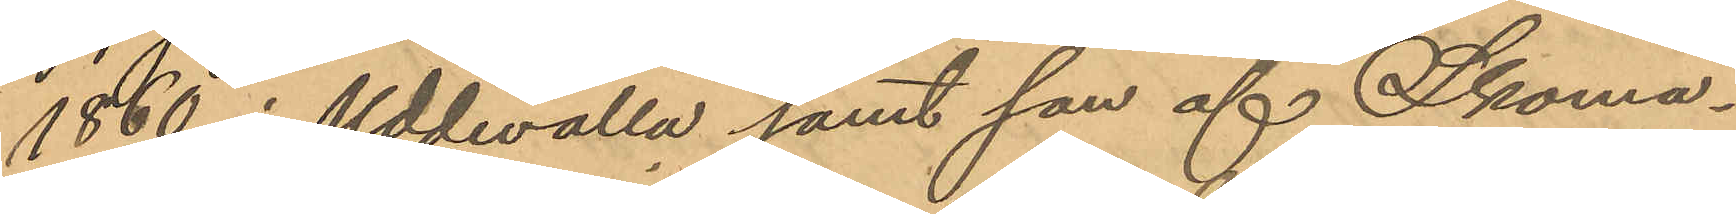1860 i Uddevalla samt son af Skoma¬
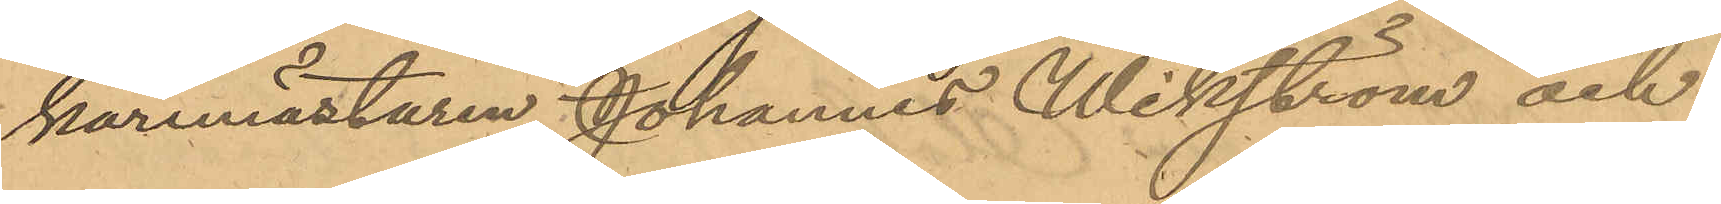karemästaren Johannes Wikström och
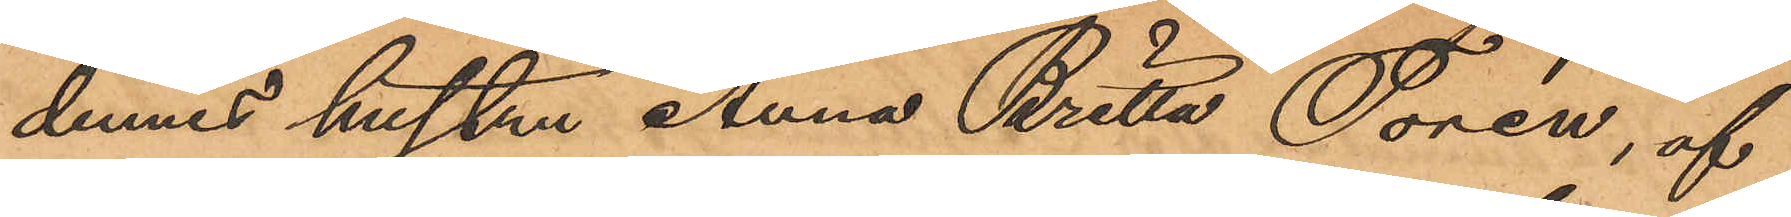dennes hustru Anna Britta Torén, af
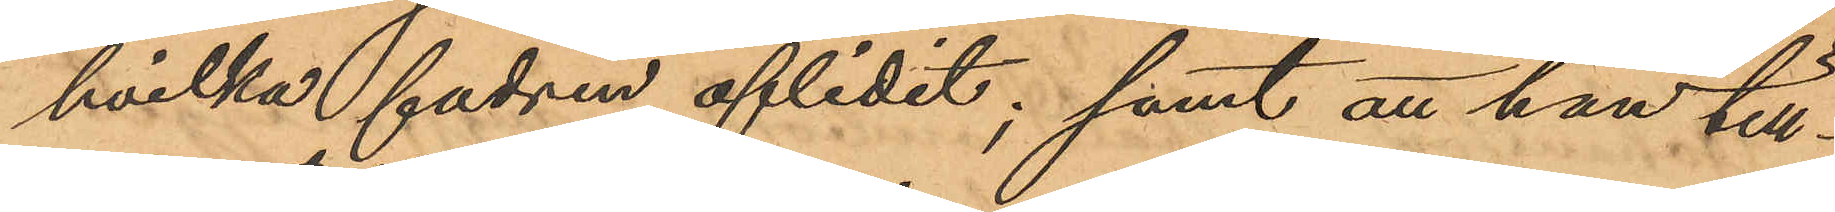hvilka fadren aflidit; samt att han till¬
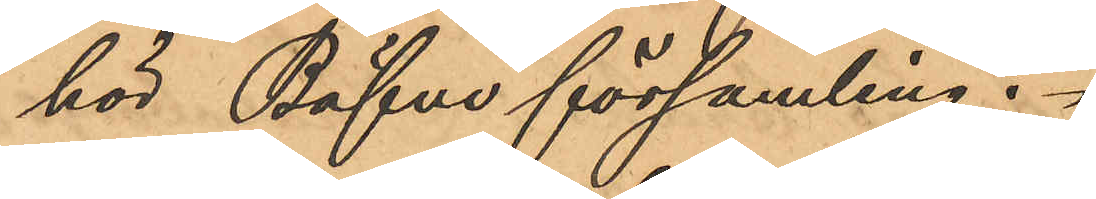hör Bäfve församling.
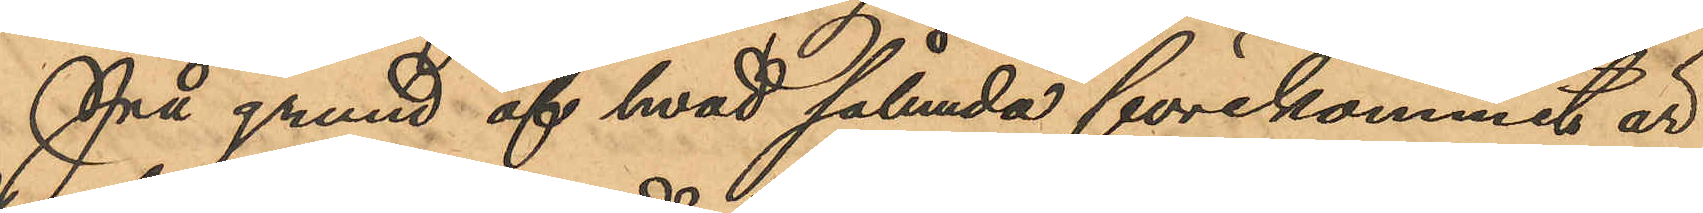På grund af hvad sålunda förekommit är
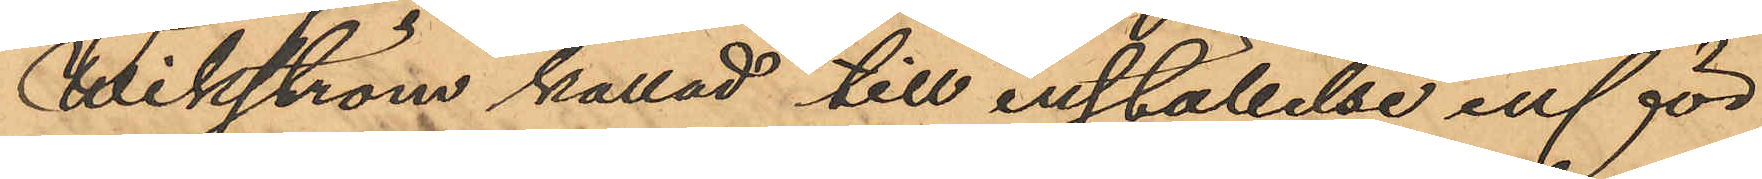Wikström kallad till inställelse inför
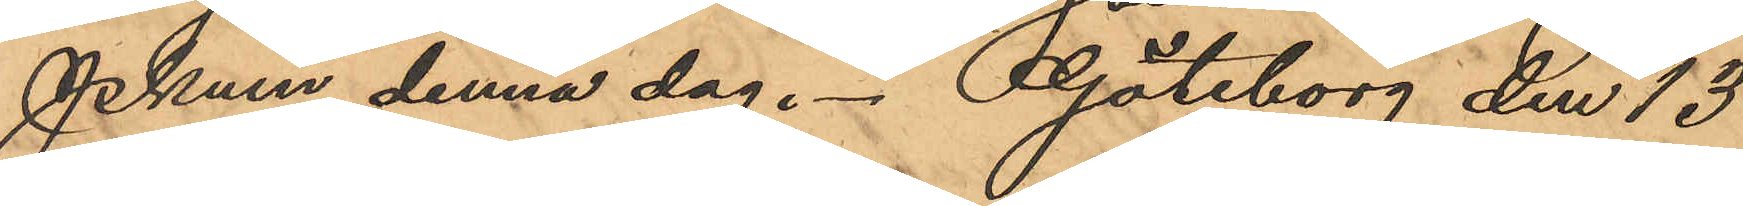Pkmn denna dag. Göteborg den 13
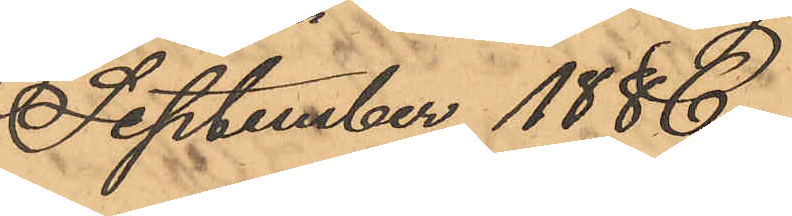September 1886.
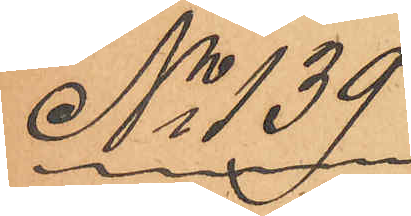No 139.
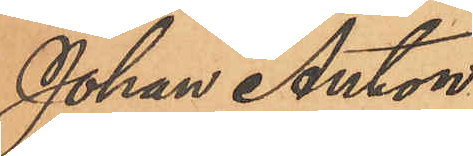Johan Anton
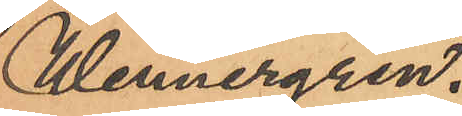Wennergren.
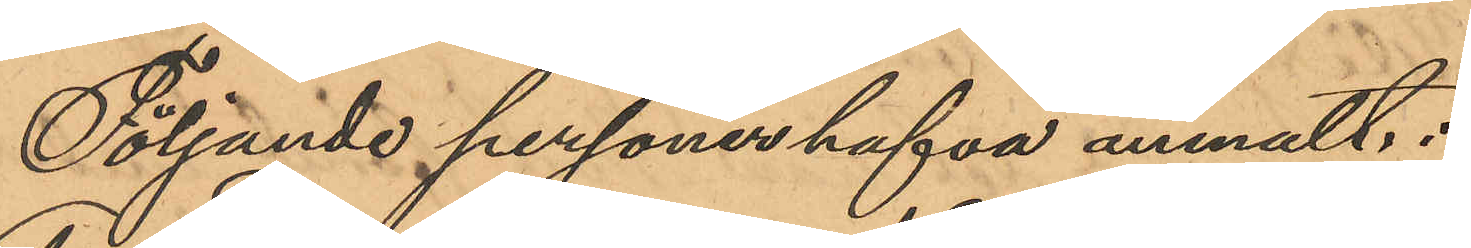Följande personer hafva anmält:
